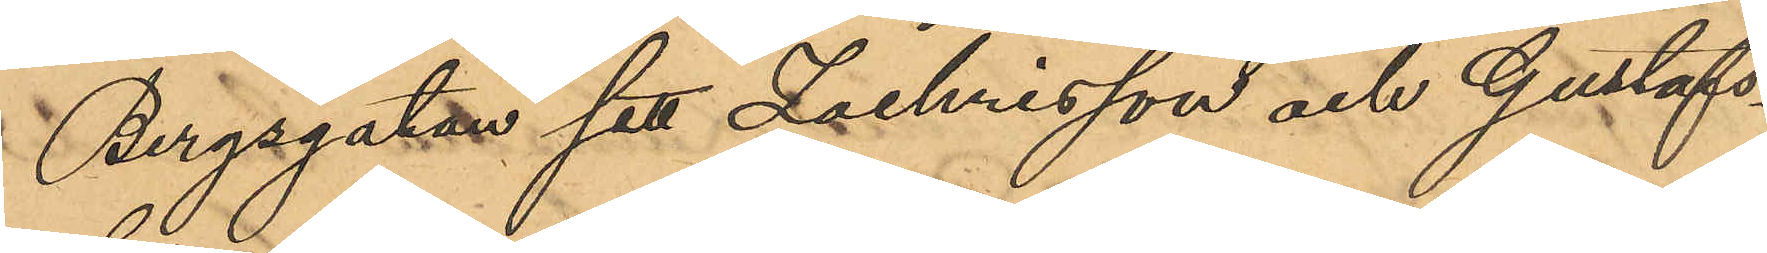Bergsgatan sett Zachrisson och Gustafs¬
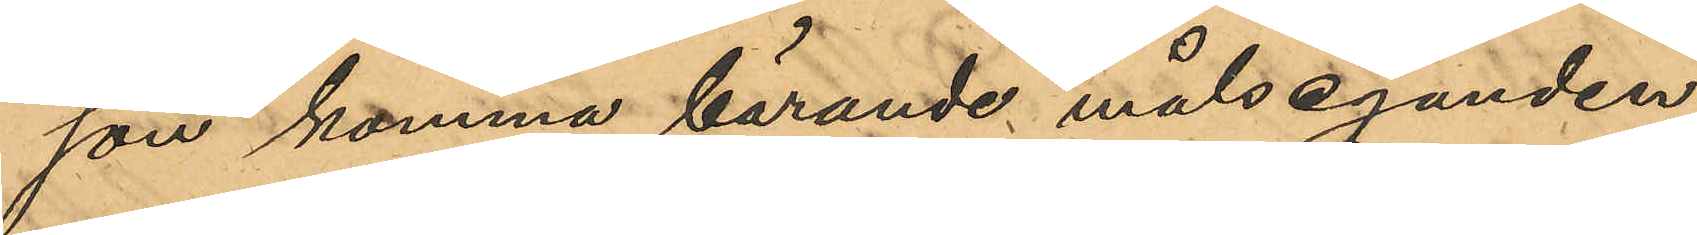son komma bärande målseganden
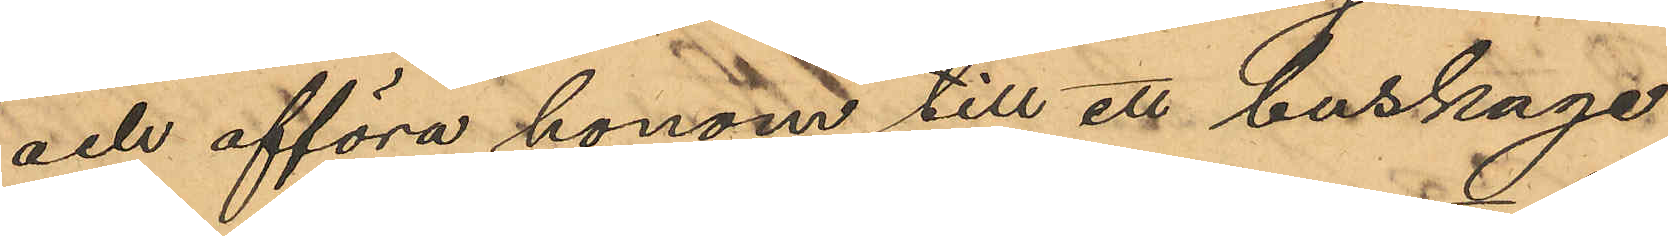och afföra honom till ett buskage
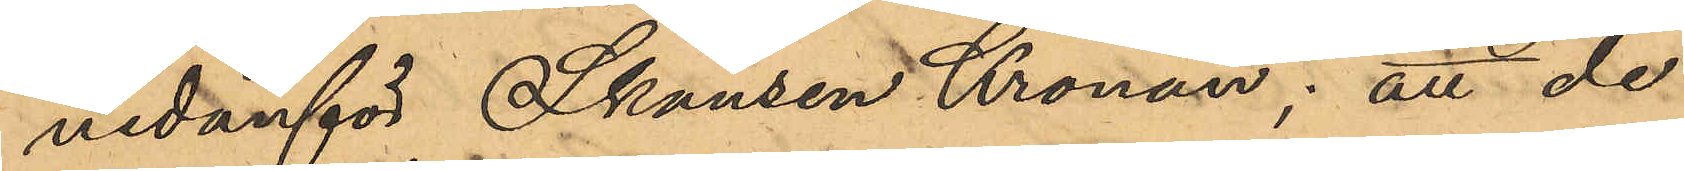nedanför Skansen Kronan; att de
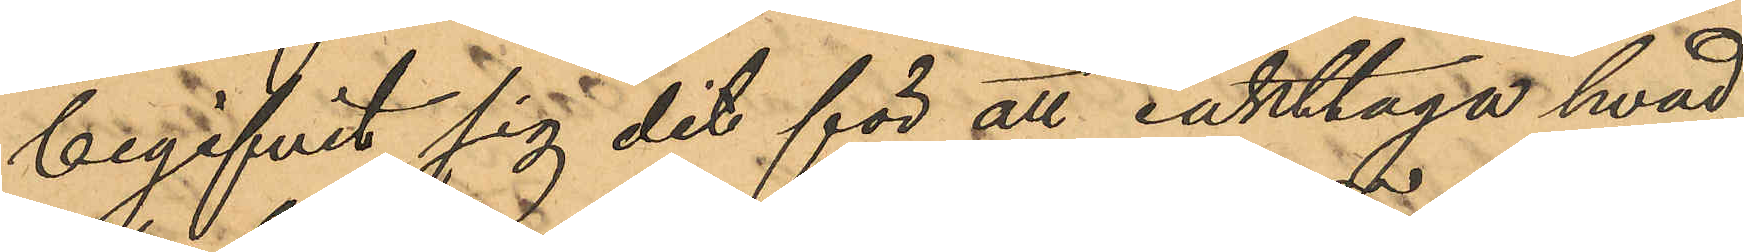begifvit sig dit för att iakttaga hvad
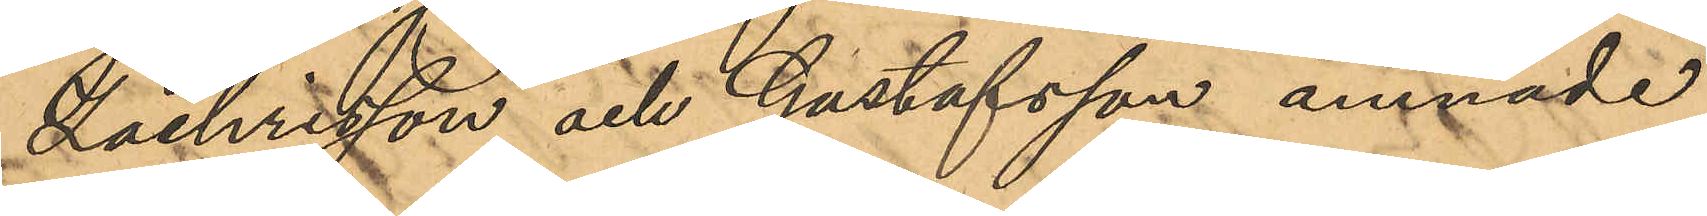Zachrisson och Gustafsson ämnade
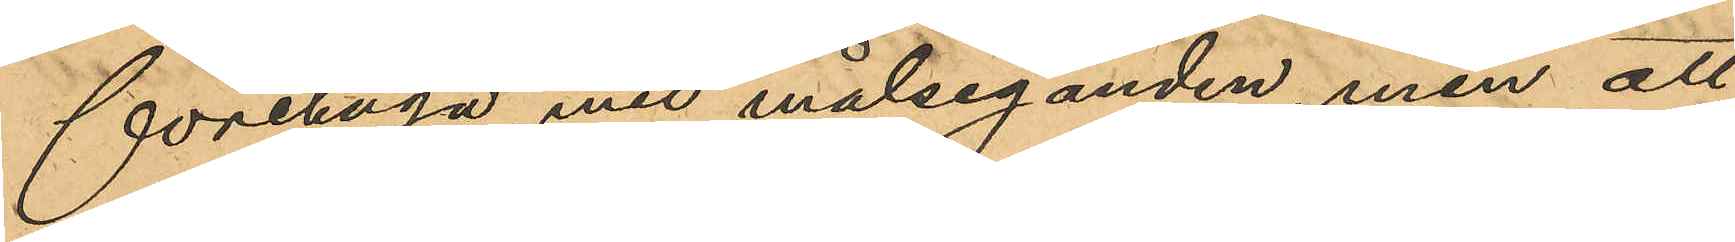företaga med målseganden, men att
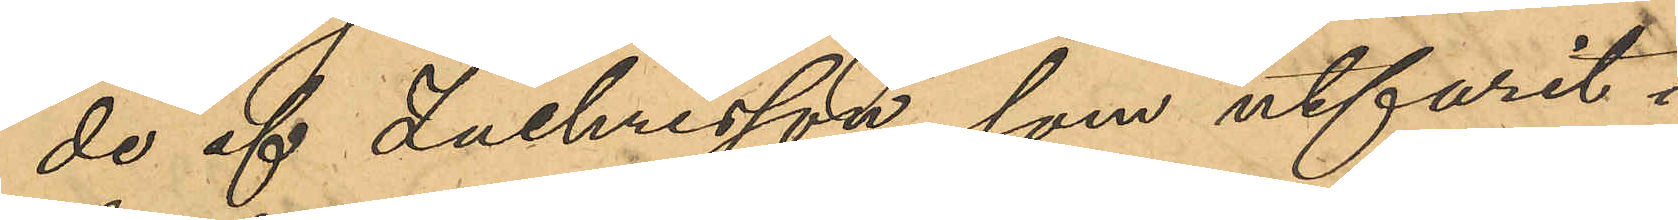de af Zachrisson, som utfarit i
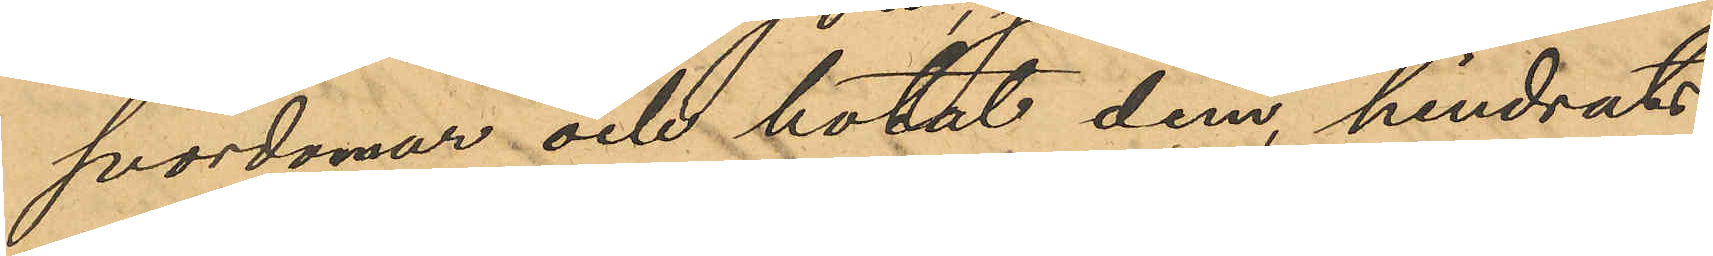svordomar och hotat dem, hindrats
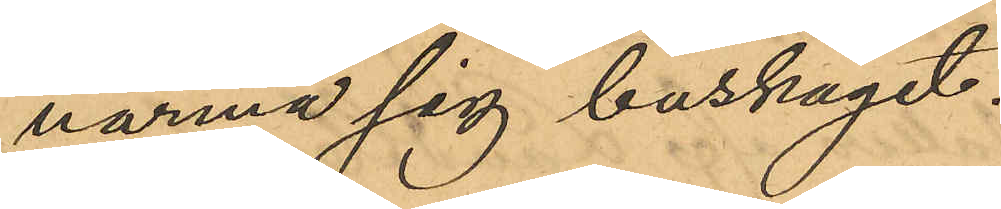närma sig buskaget.
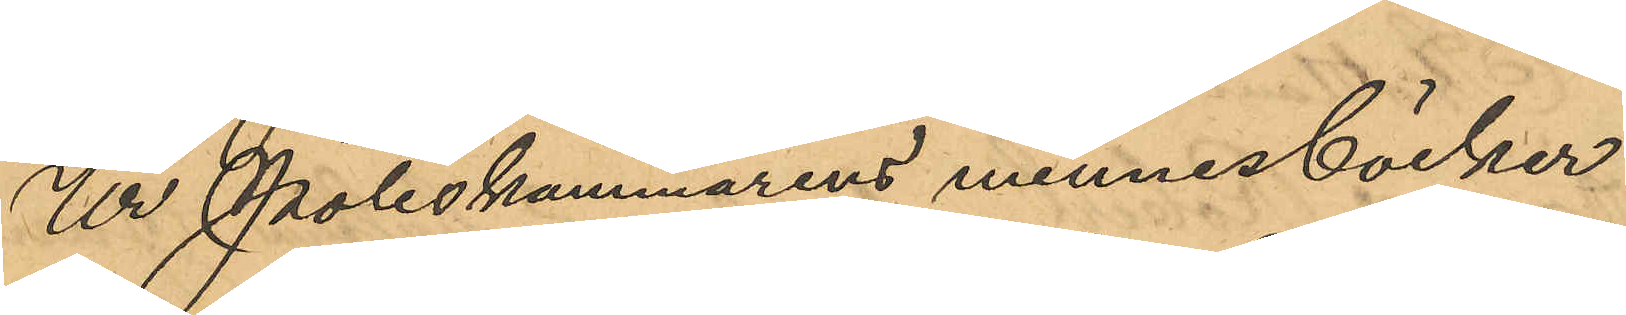Ur Poliskammarens minnesböcker
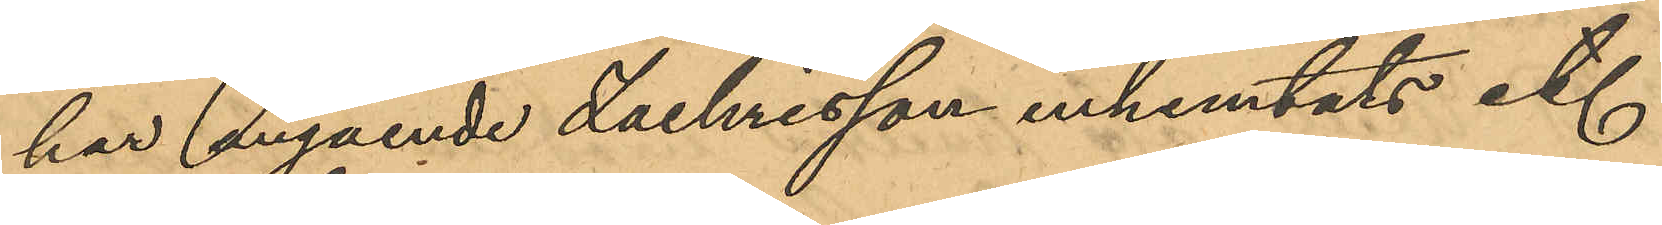har angående Zachrisson inhemtats ett
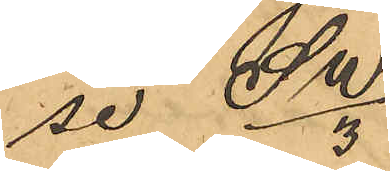se SW/3.
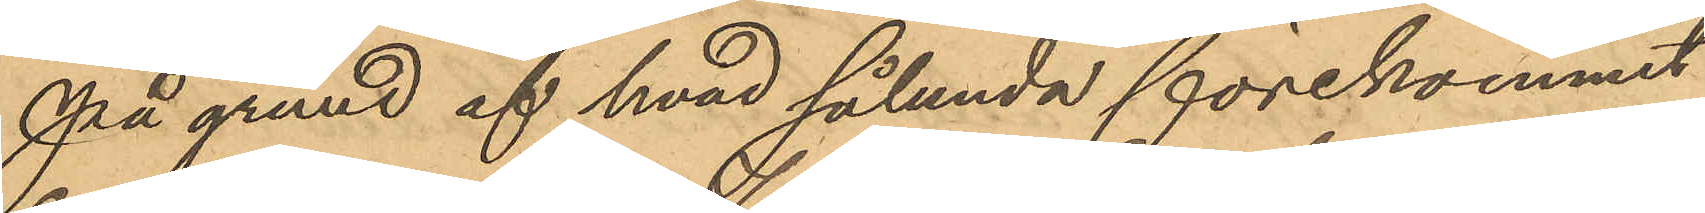På grund af hvad sålunda förekommit
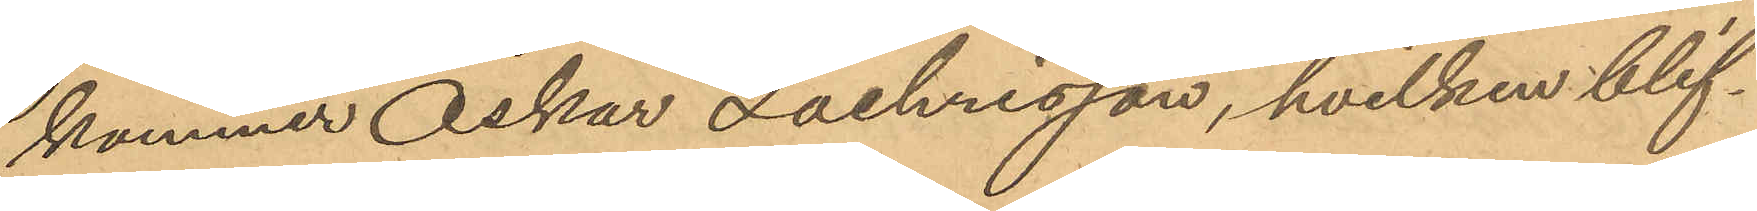kommer Oskar Zachrisson, hvilken blif¬
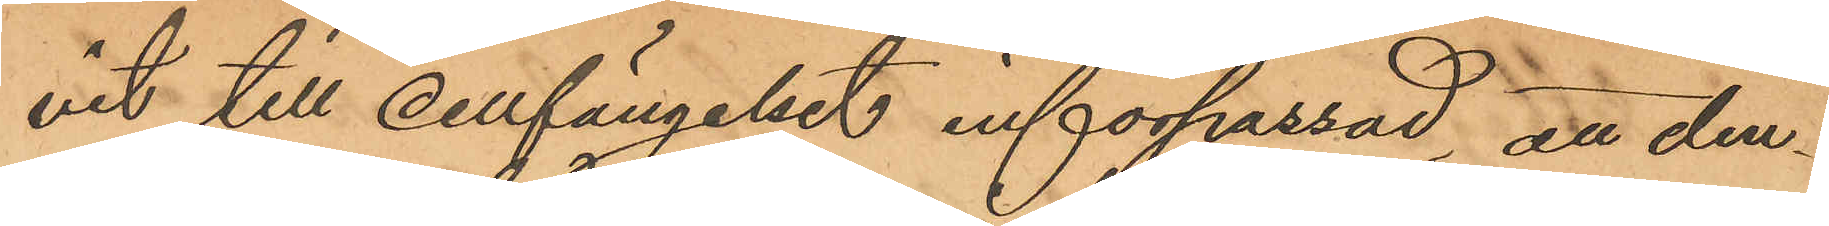vit till cellfängelset införpassad, att den¬
